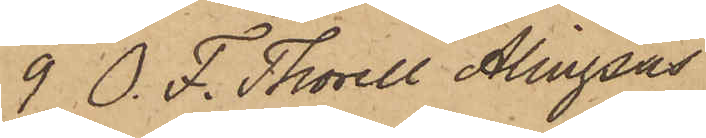9 O. F. Thorell Alingsås
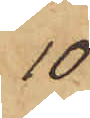10
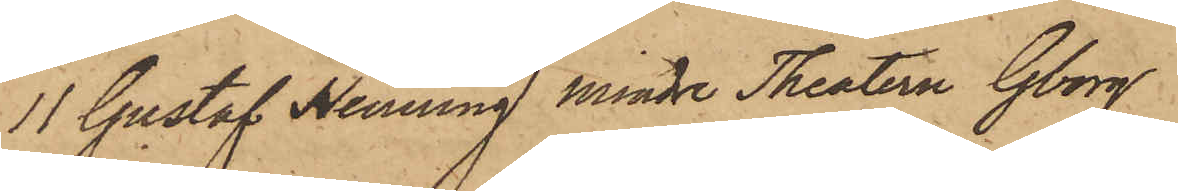11 Gustaf Henning Mindre Theatern Gborg
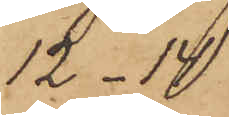12-14
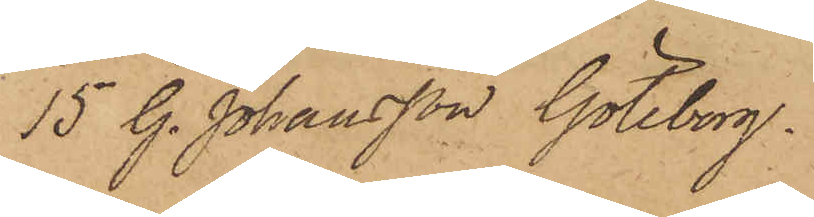15 G. Johansson Göteborg.
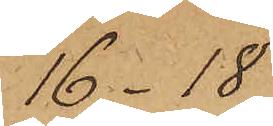16 -18
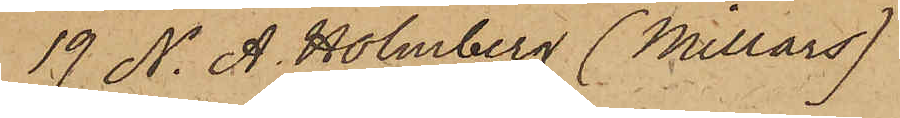19 N. A. Holmberg (Millars)
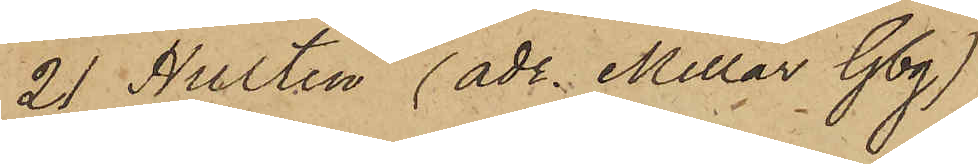21 Hulten (adr. Millar Gbg)
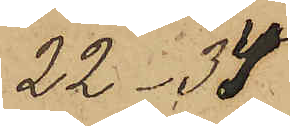22-34
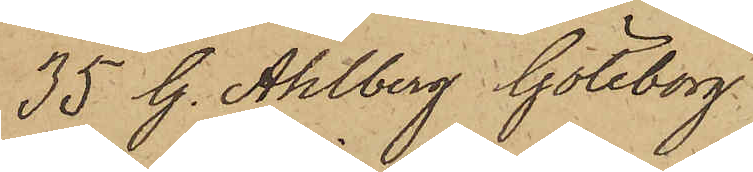35 G. Ahlberg Göteborg
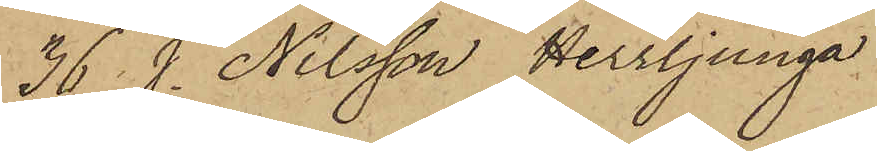36. J. Nilsson Herrljunga
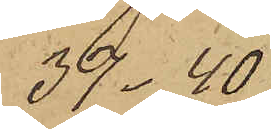37 - 40
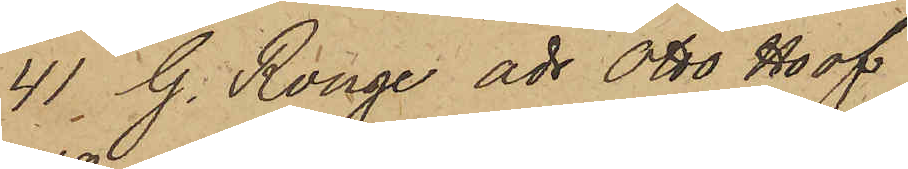41. G. Ronge adr Otto Hoof
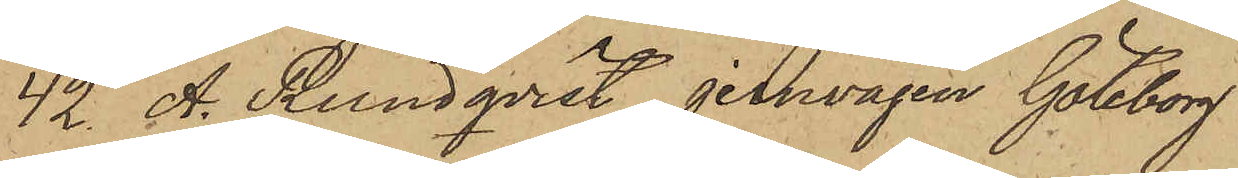42 A. Rundqvist jernvägen Göteborg
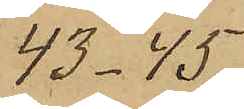43 - 45
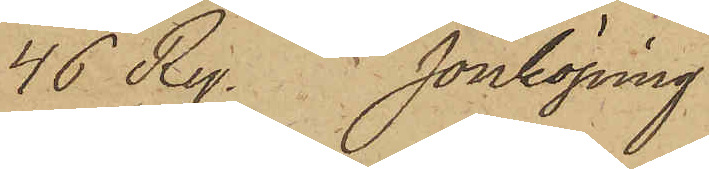46 Ry. Jönköping
